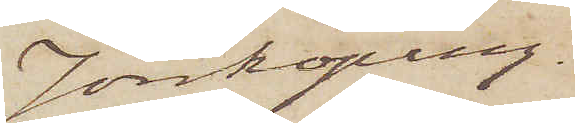Jönköping.
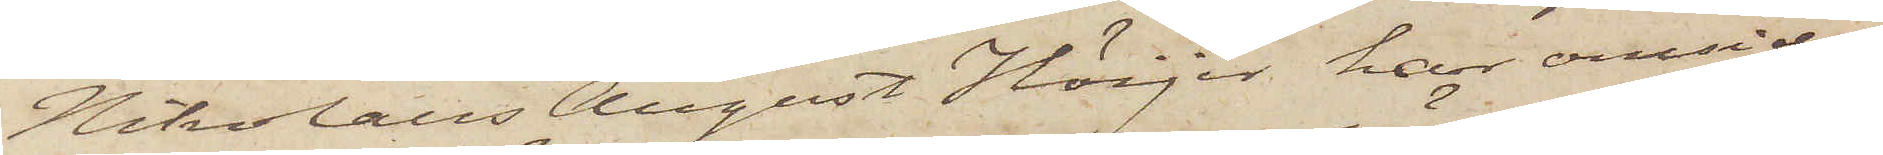Nikolaus August Höijer har omsider
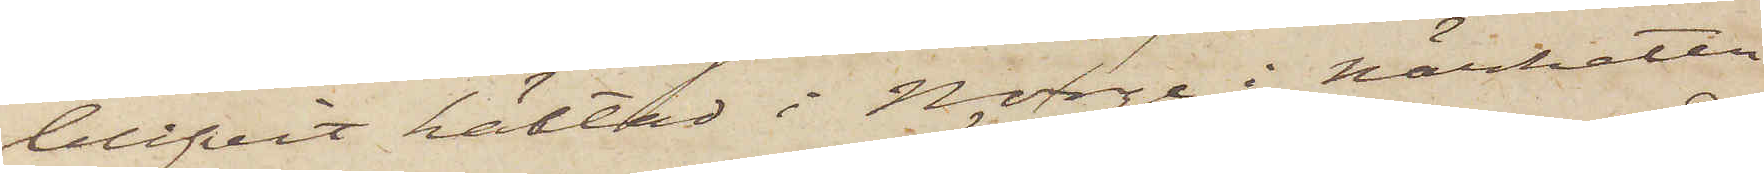blifvit häktad i Norge i närheten
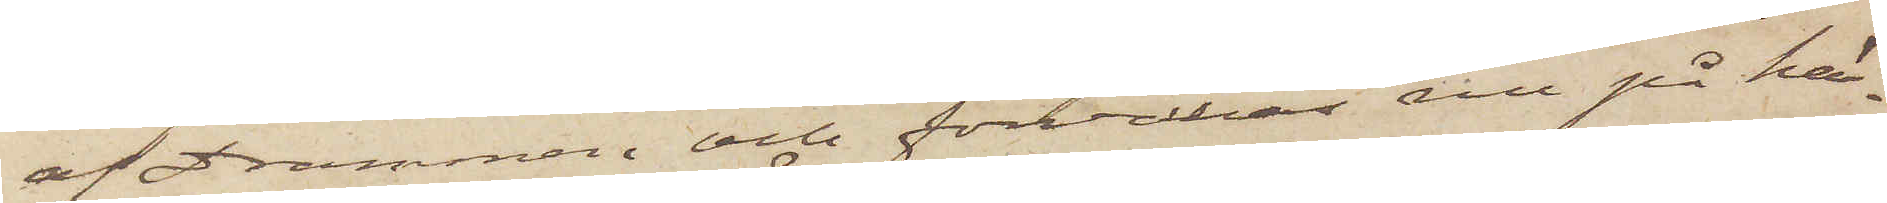af Drammen och förvaras nu på här¬
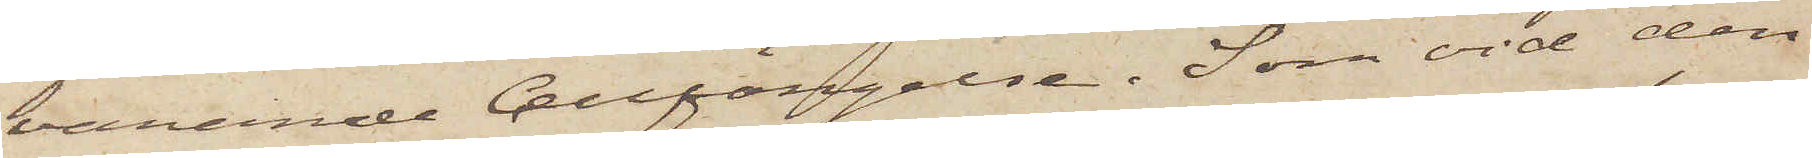varande Cellfängelse. Som vid den
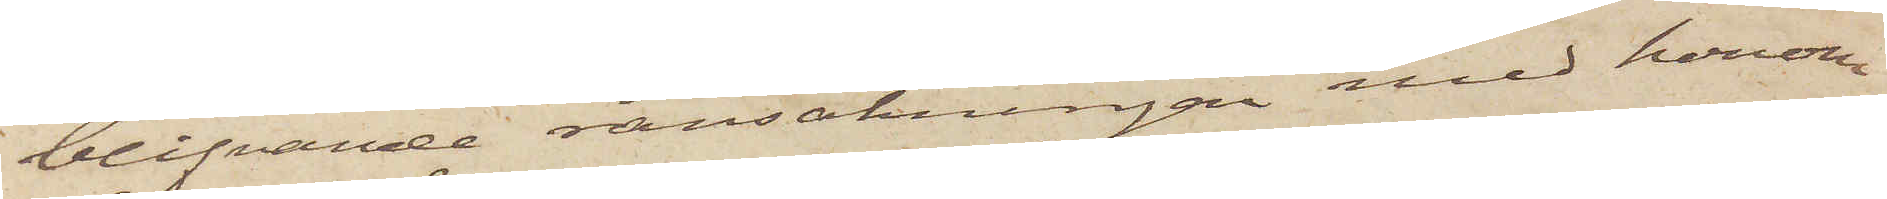blifvande ransakningen med honom
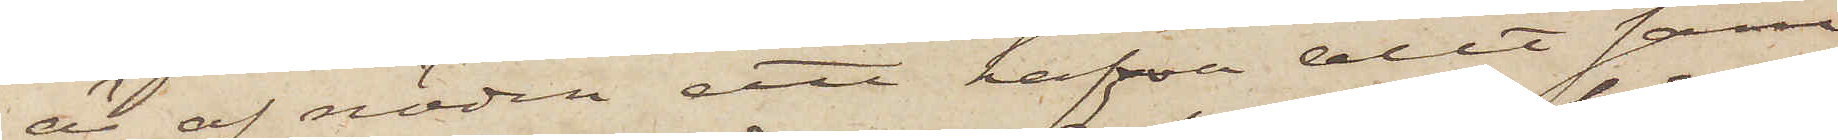är af nöden att hafva allt sam¬
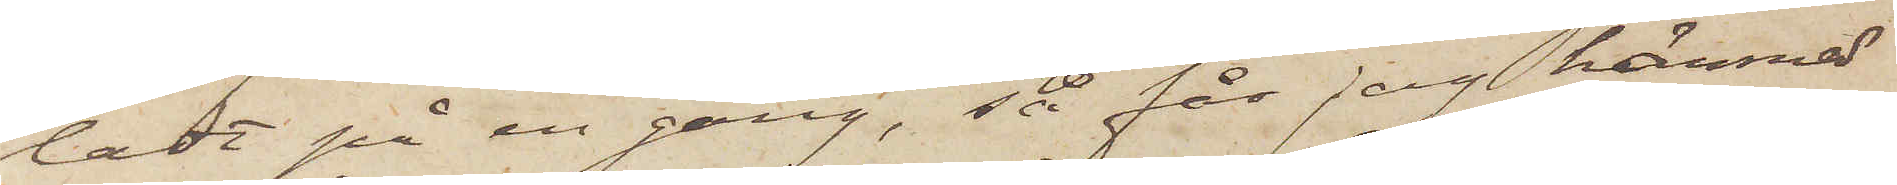ladt på en gång, så får jag härmed
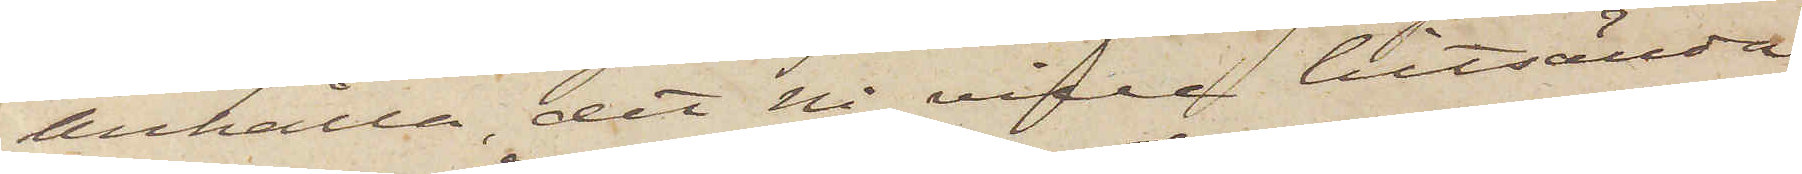anhålla, det Ni ville hitsända
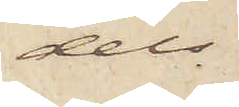dels
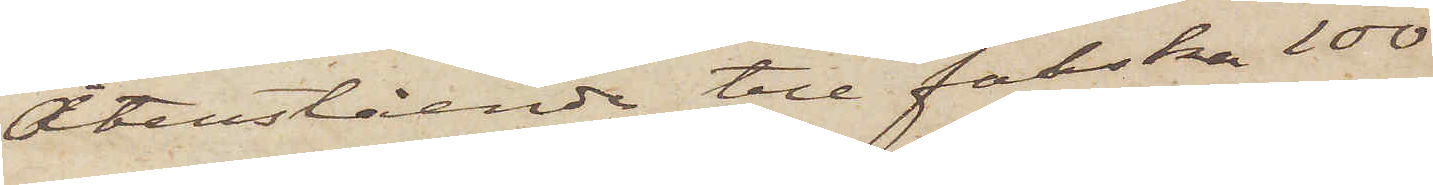Återstående tre falska 100
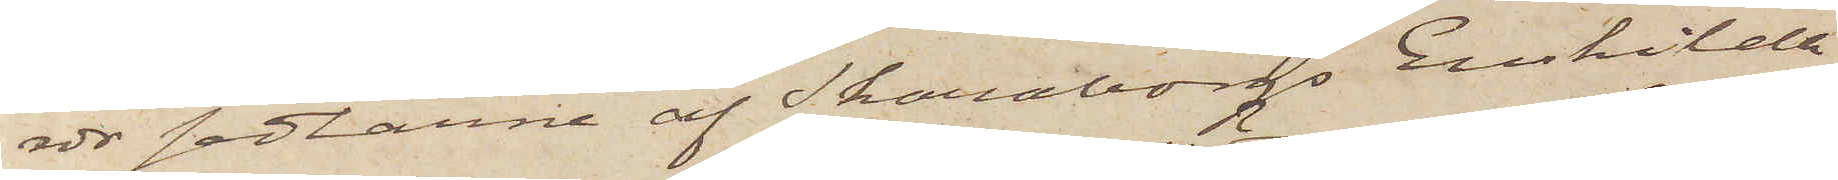rdr sedlarne af Skaraborgs Enskilda
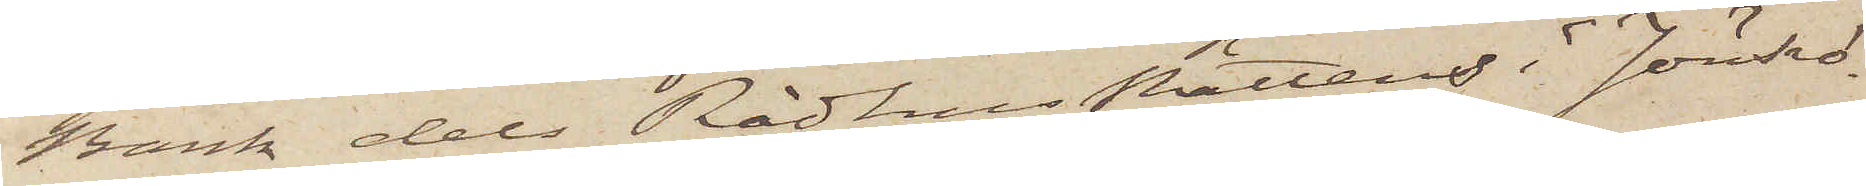Bank dels Rådhus Rättens i Jönkö¬
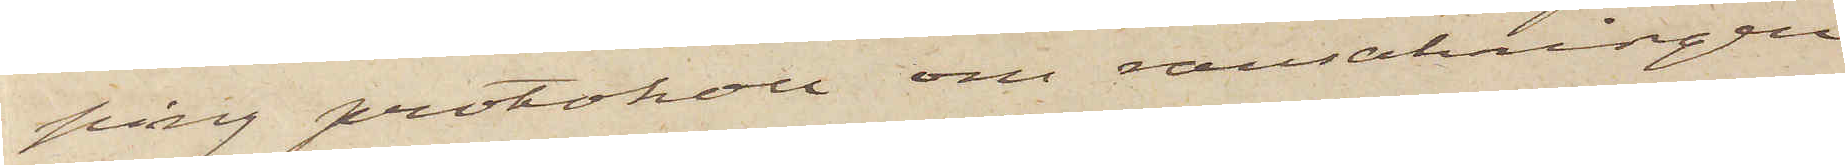ping protokoll om ransakningen
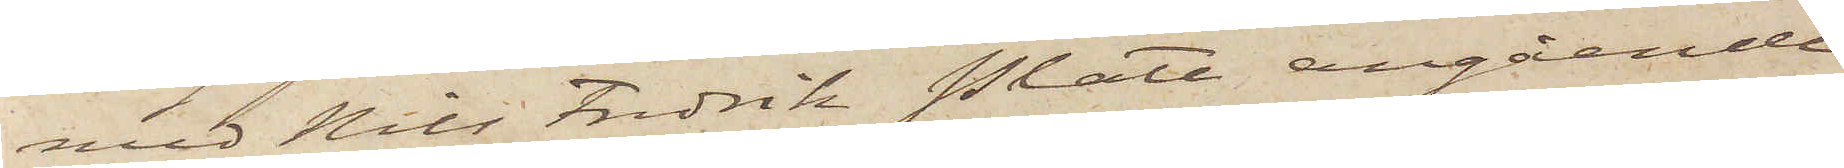med Nils Fredrik Platt angående
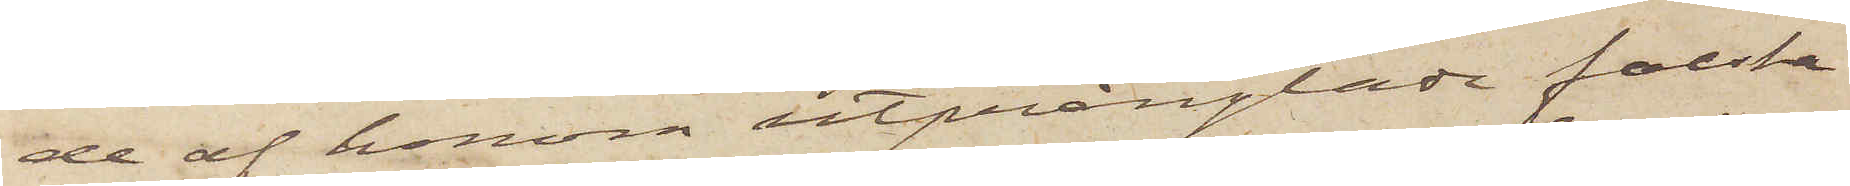de af honom utprånglade falska
